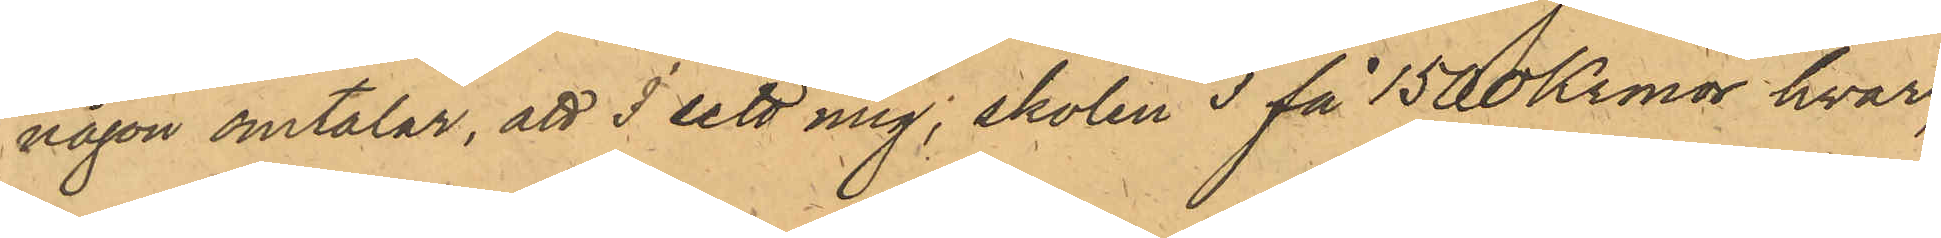någon omtalar, att I sett mig; skolen I få 1500 Kronor hvar,"
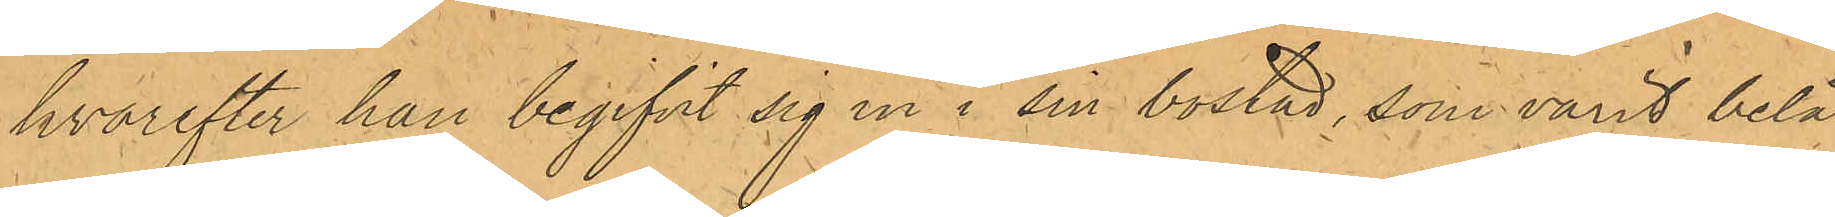hvarefter han begifvit sig in i sin bostad, som varit belä¬
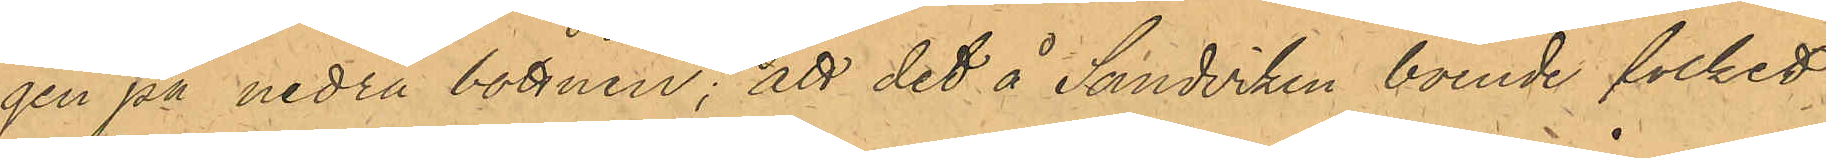gen på nedra botten; att det å Sandviken boende folket
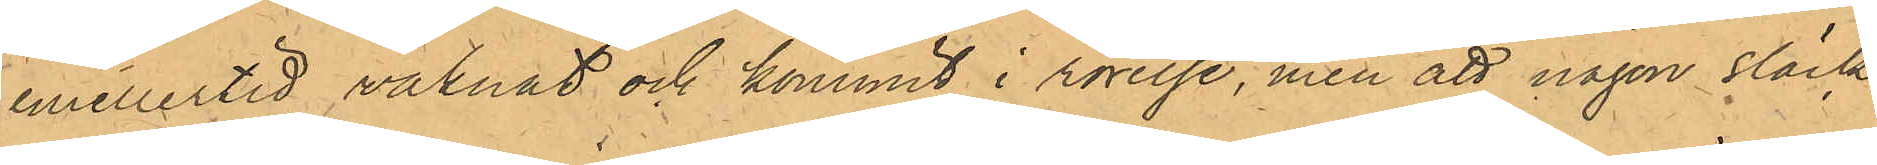emellertid vaknat och kommit i rörelse, men att någon släck¬
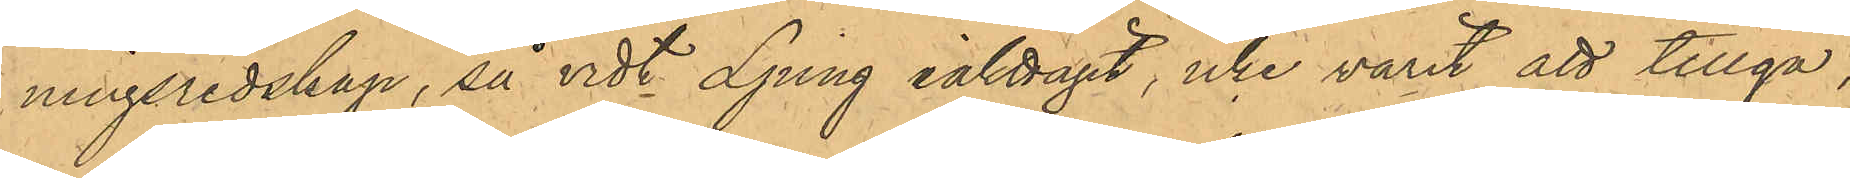ningsredskap, så vidt Ljung iakttagit, icke varit att tillgå;
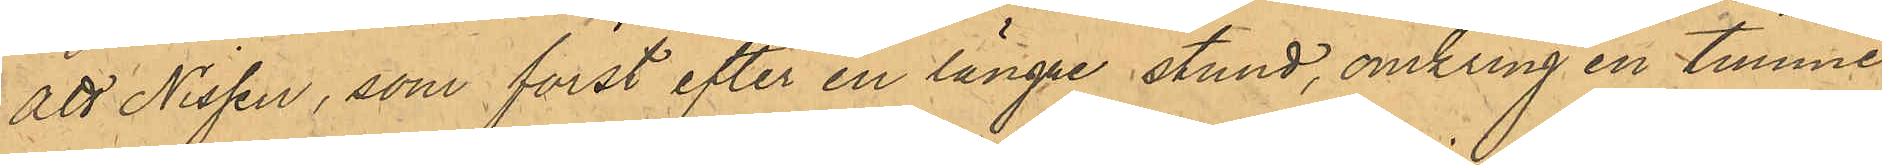att Nissen, som först efter en längre stund, omkring en timme,
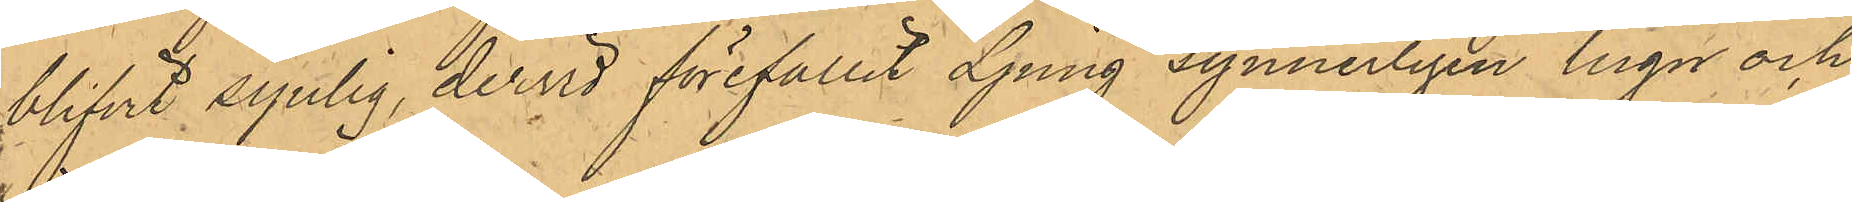blifvit synlig, dervid förefallit Ljung synnerligen lugn och
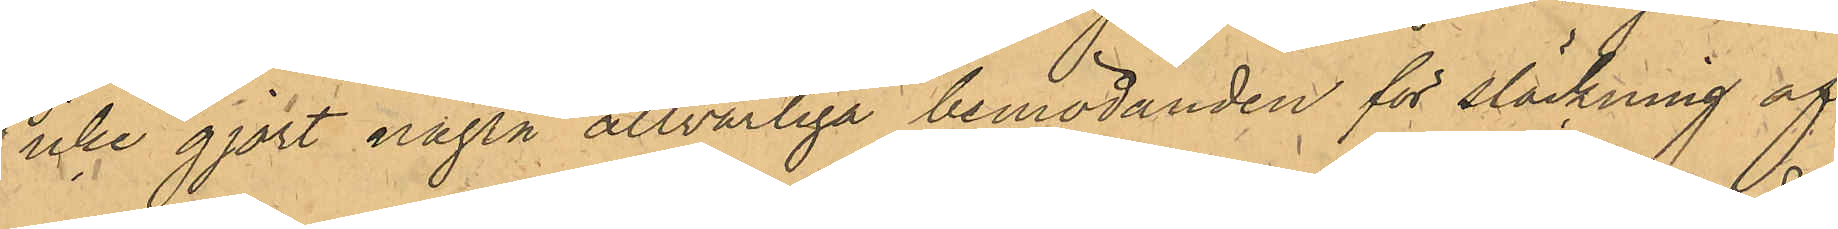icke gjort några allvarliga bemödanden för släckning af
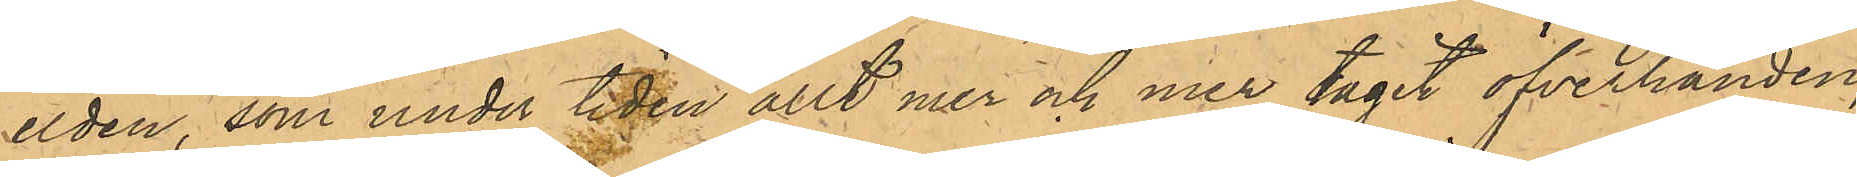elden, som under tiden allt mer och mer tagit öfverhanden;
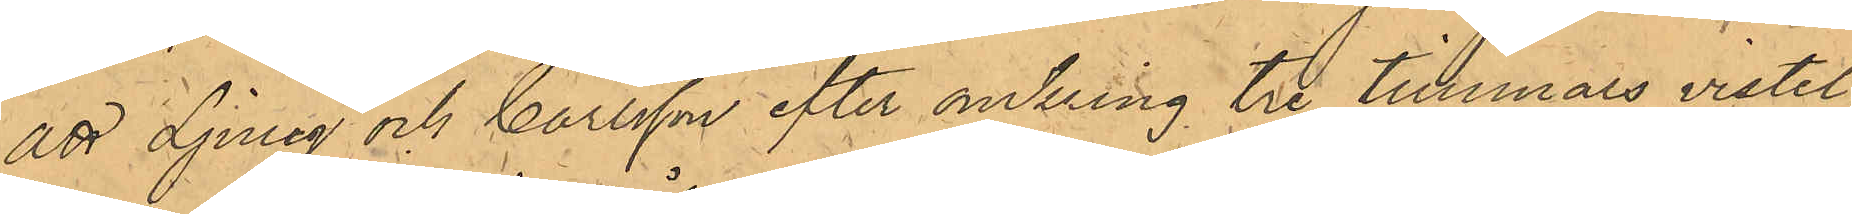att Ljung och Carlsson efter omkring tre timmars vistel¬
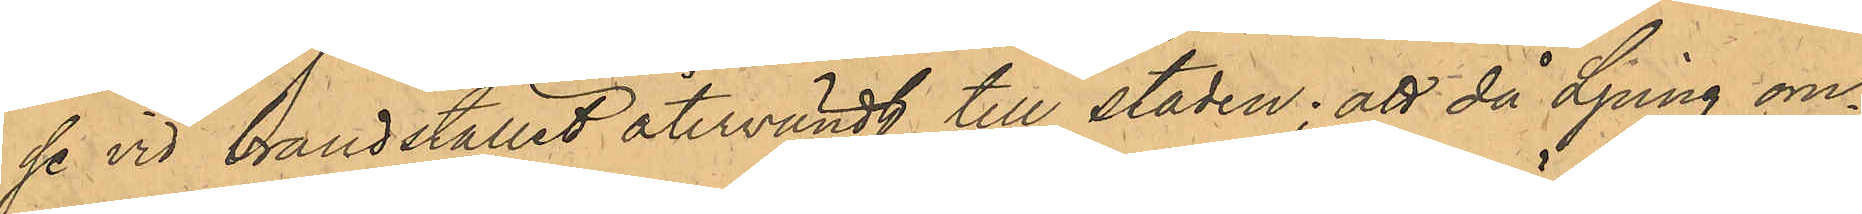se vid brandstället återvändt till staden; att då Ljung om¬
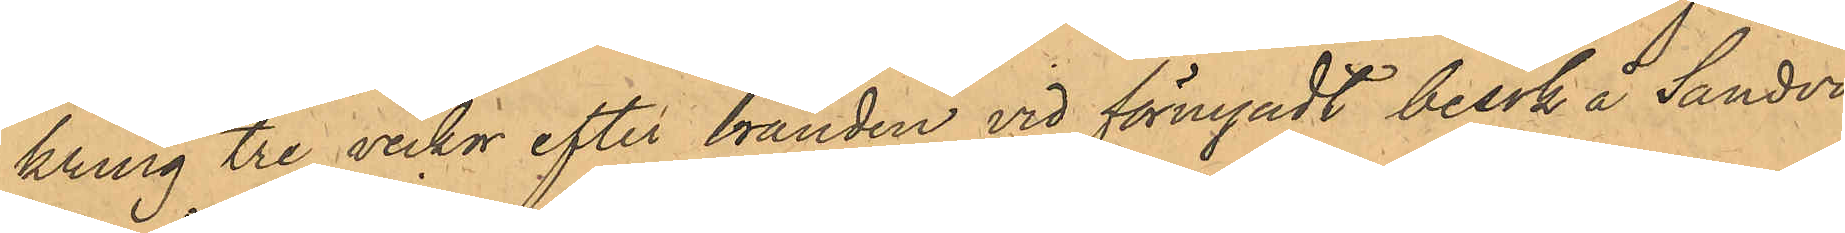kring tre veckor efter branden vid förnyadt besök å Sandvi¬
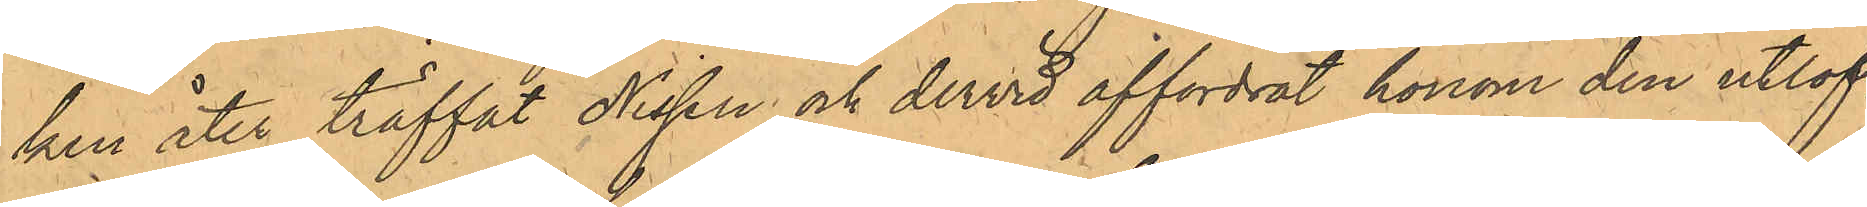ken åter träffat Nissen och dervid affordrat honom den utlof¬
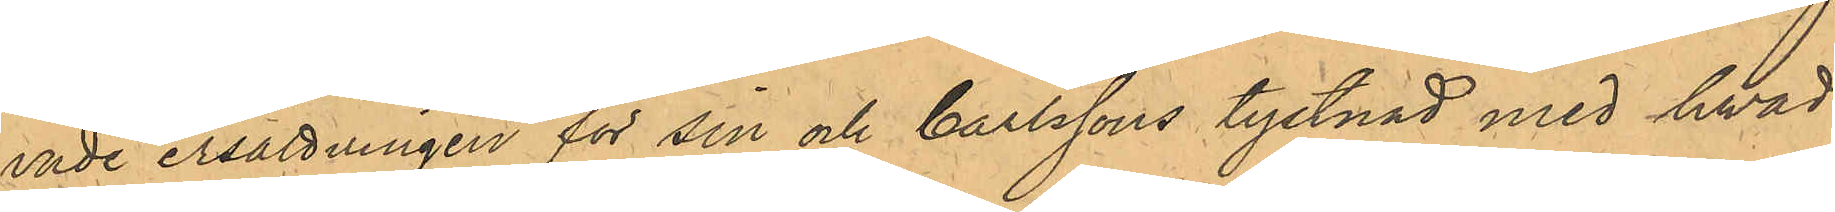ende ersättningen för sin och Carlssons tystnad med hvad
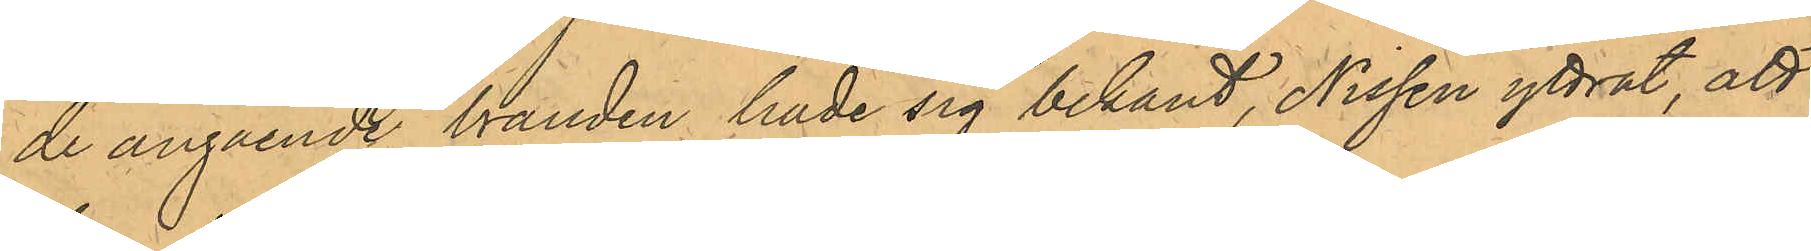de angående branden hade sig bekant, Nissen yttrat, att
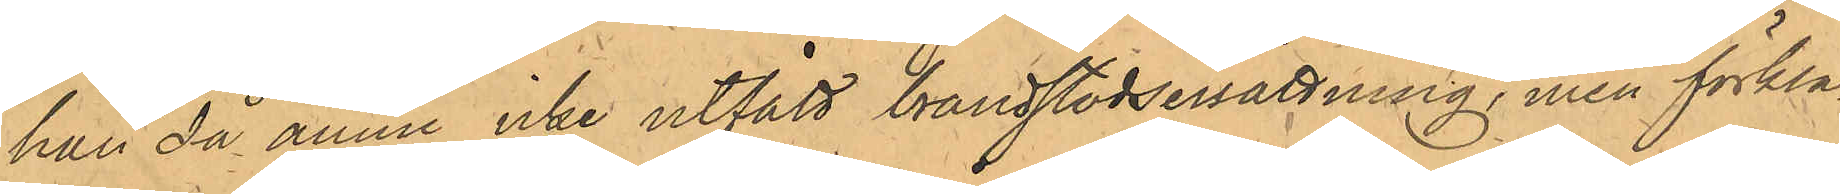han då ännu icke utfått brandstodsersättning, men förkla¬
